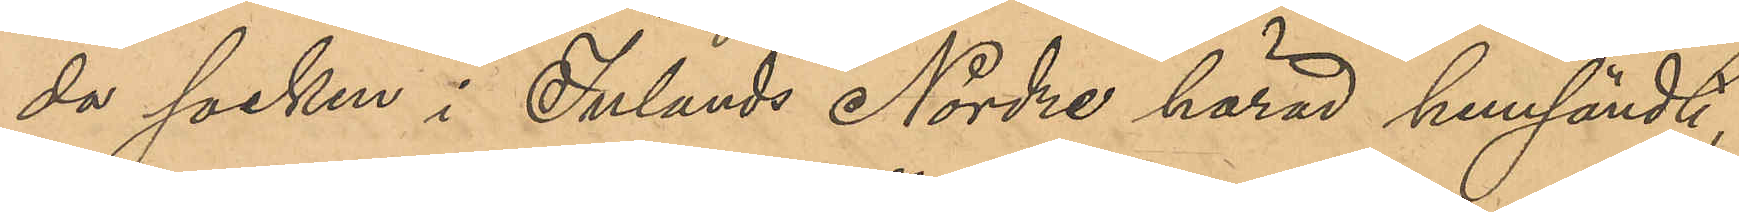da socken i Inlands Nordre härad hemsändt,
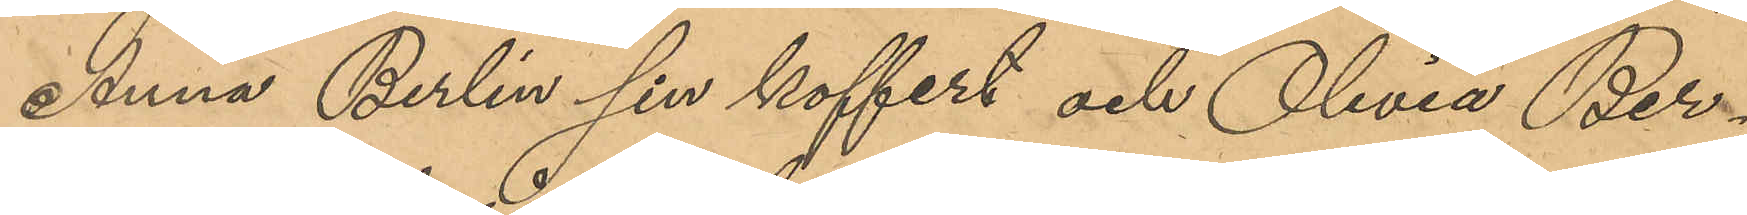Anna Berlin sin koffert och Olivia Ber¬
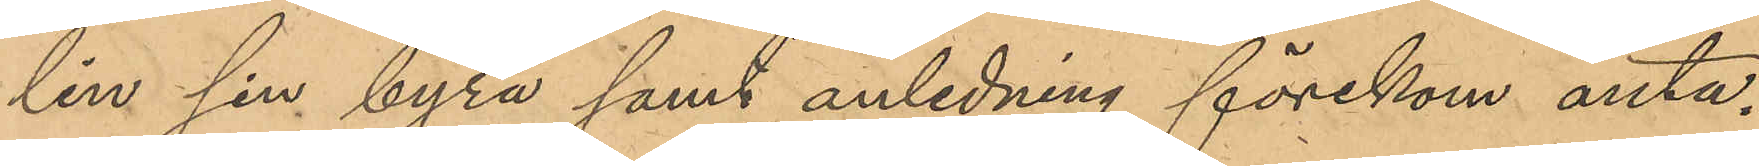lin sin byrå samt anledning förekom anta¬
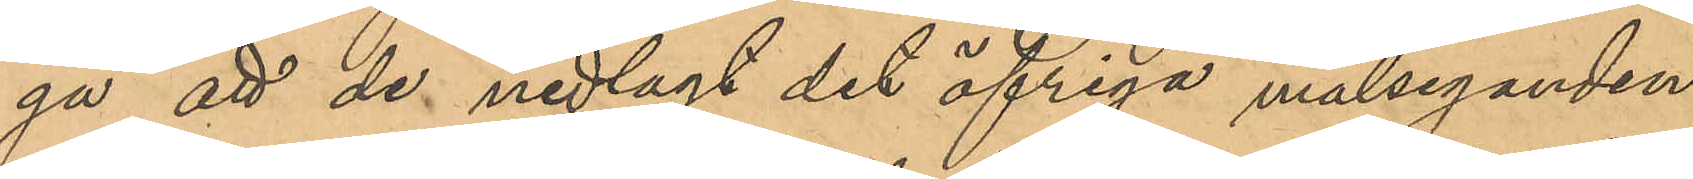ga att de nedlagt det öfriga målseganden
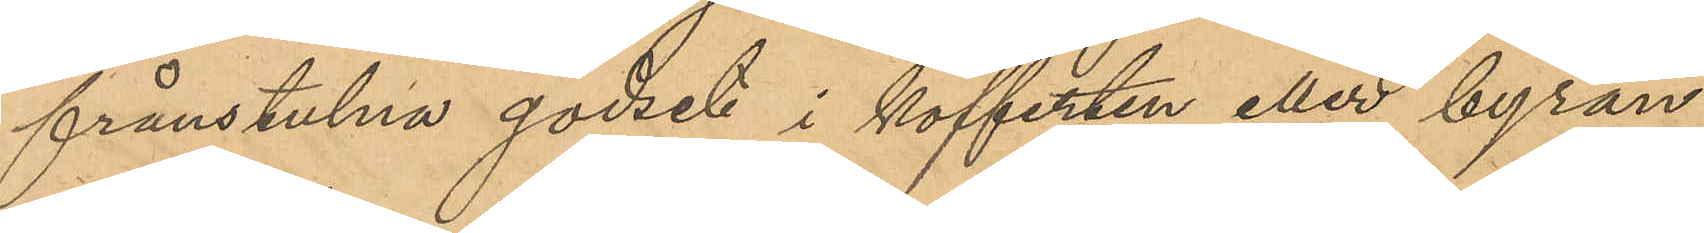frånstulna godset i kofferten eller byrån,
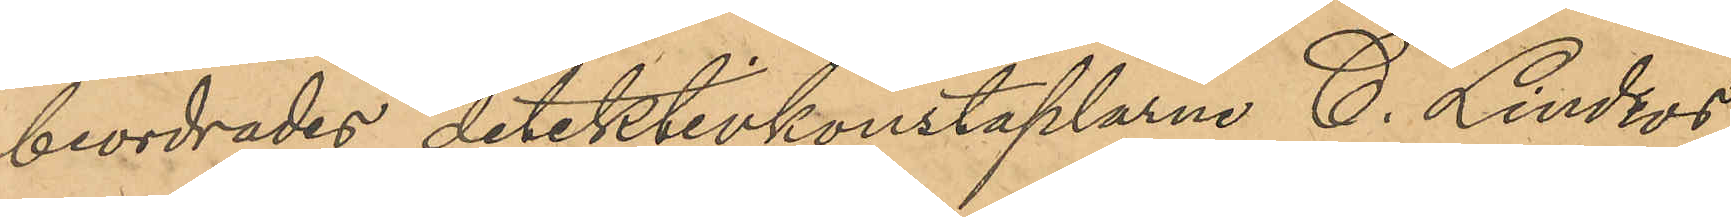beordrades detektivkonstaplarne C. Lindros
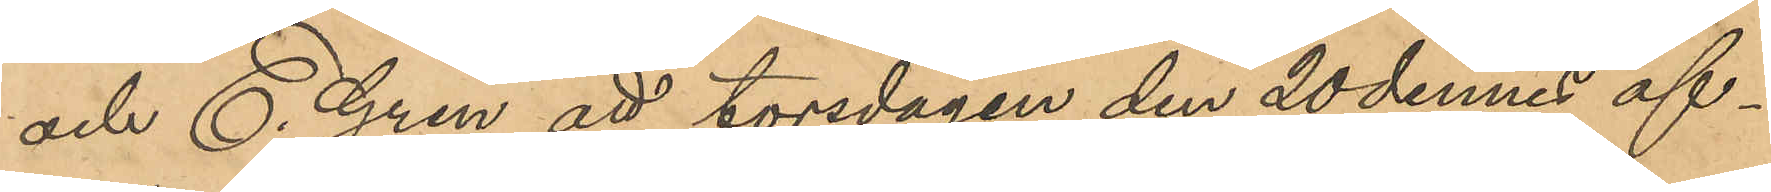och E. Gren att torsdagen den 20 dennes af¬
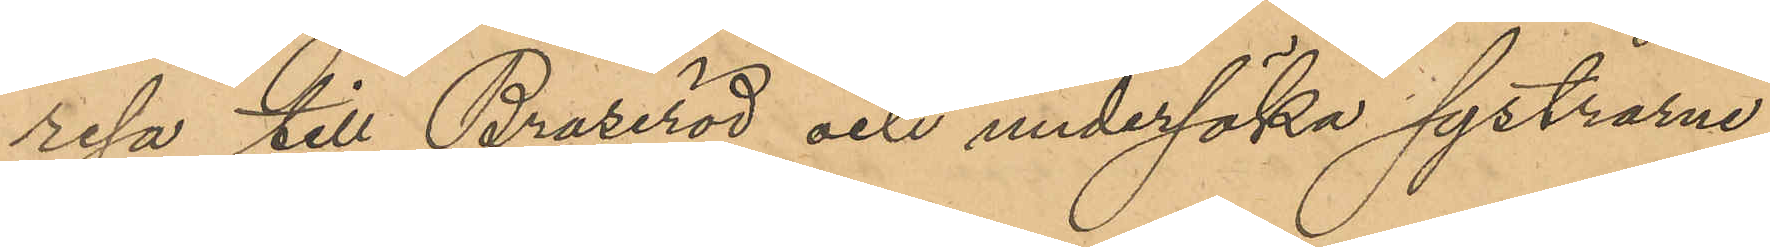resa till Braseröd och undersöka systrarna
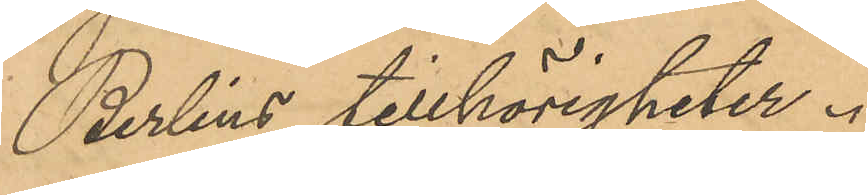Berlins tillhörigheter.
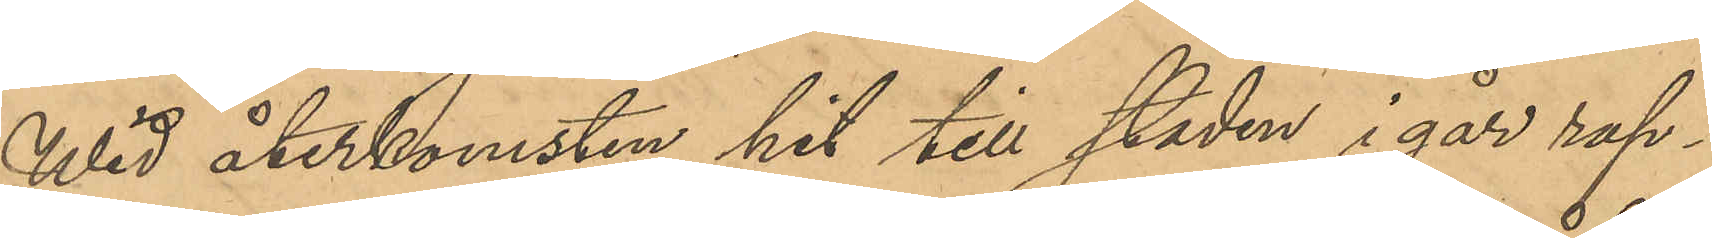Wid återkomsten hit till staden i går rap¬
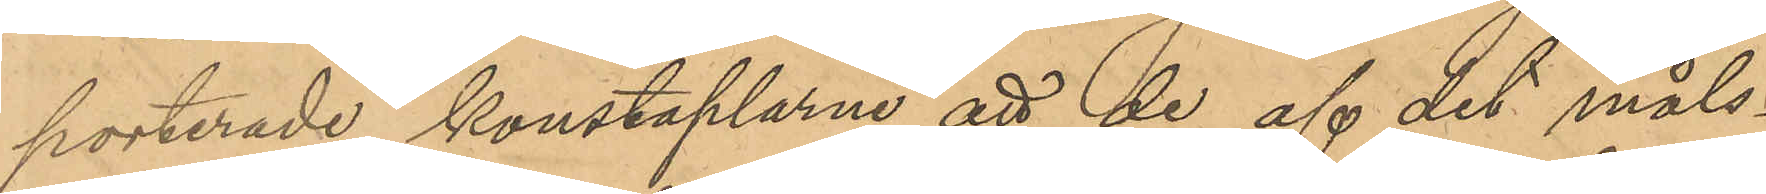porterade konstaplarne att de af det måls¬
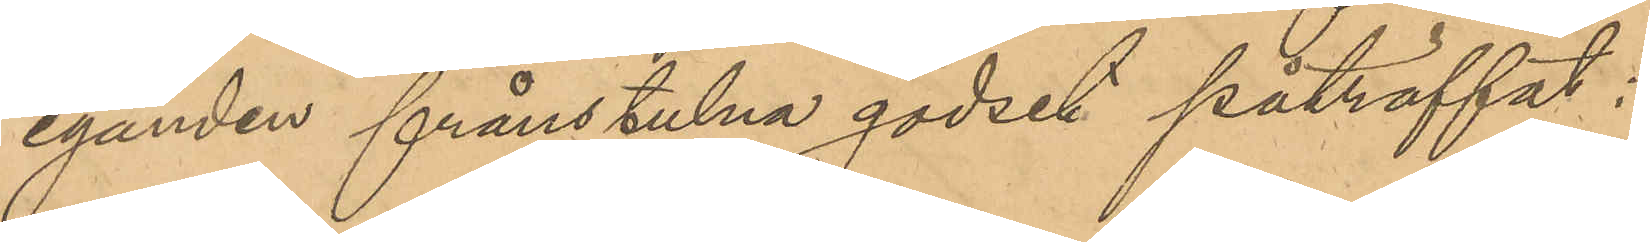eganden frånstulna godset påträffat:
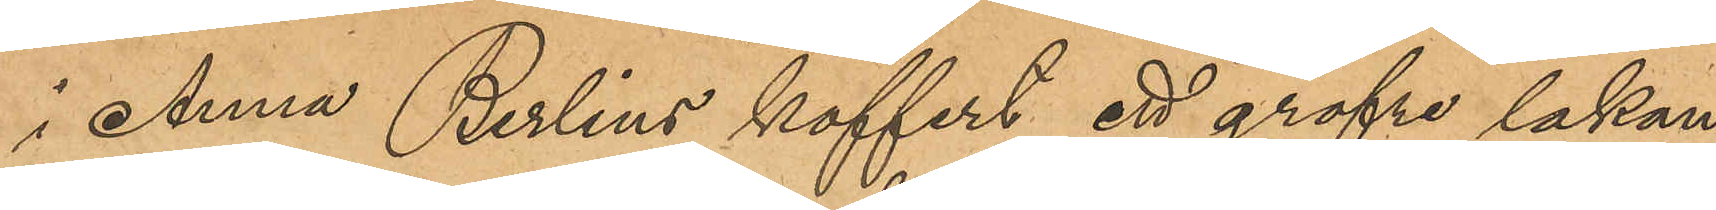i Anna Berlins koffert ett gröfre lakan,
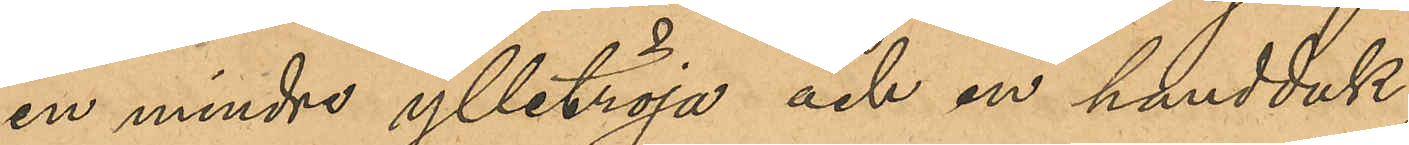en mindre ylletröja och en handduk,
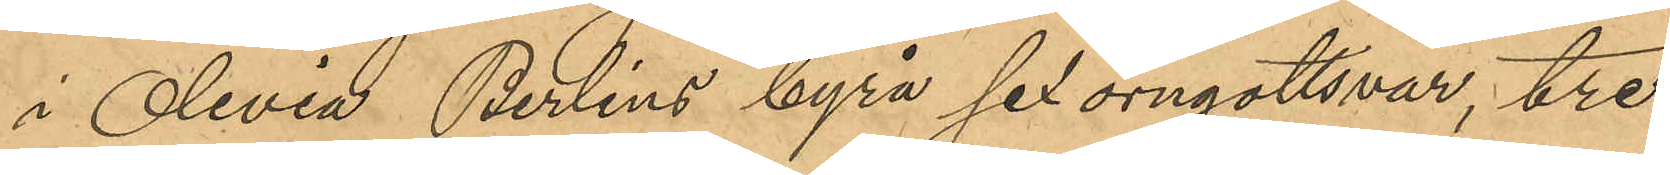i Olivia Berlins byrå sex örngottsvar, tre
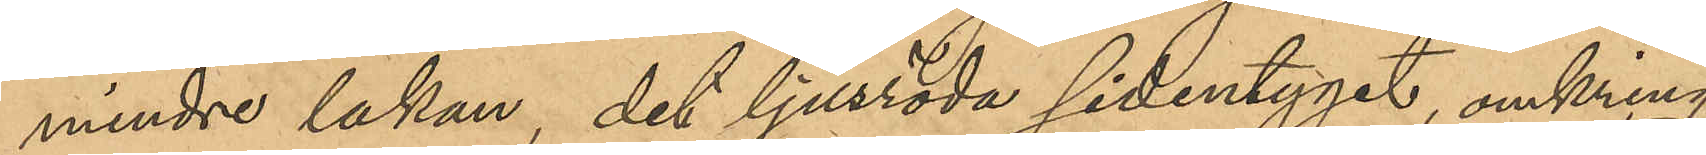mindre lakan, det ljusröda sidentyget, omkring
